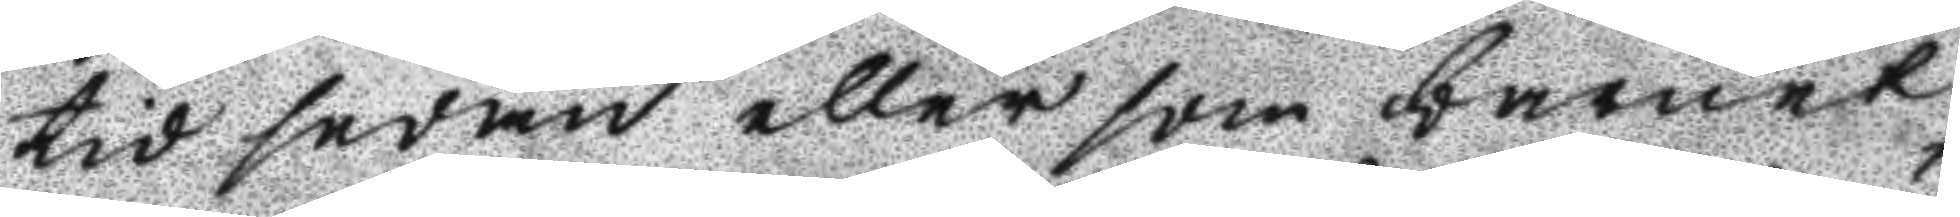tid sedan eller som barnet
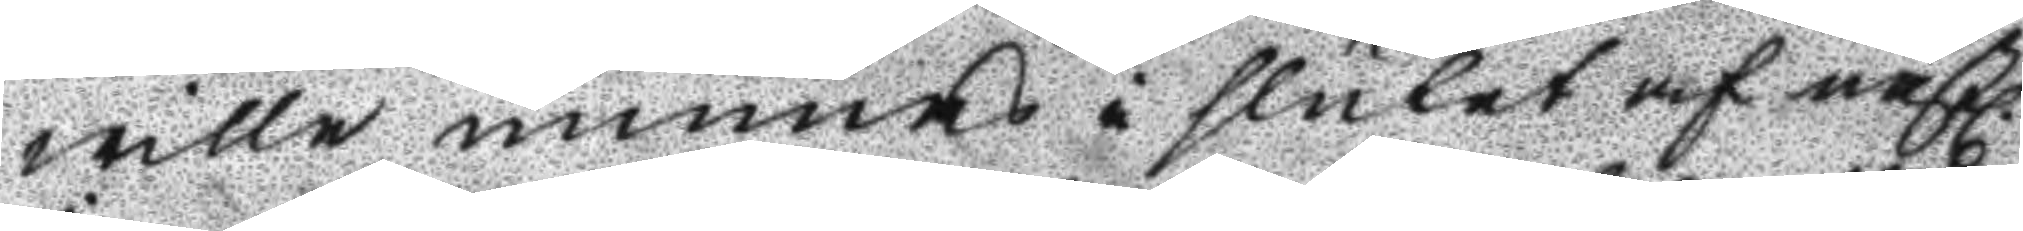wille minnas i slutet af nästl.
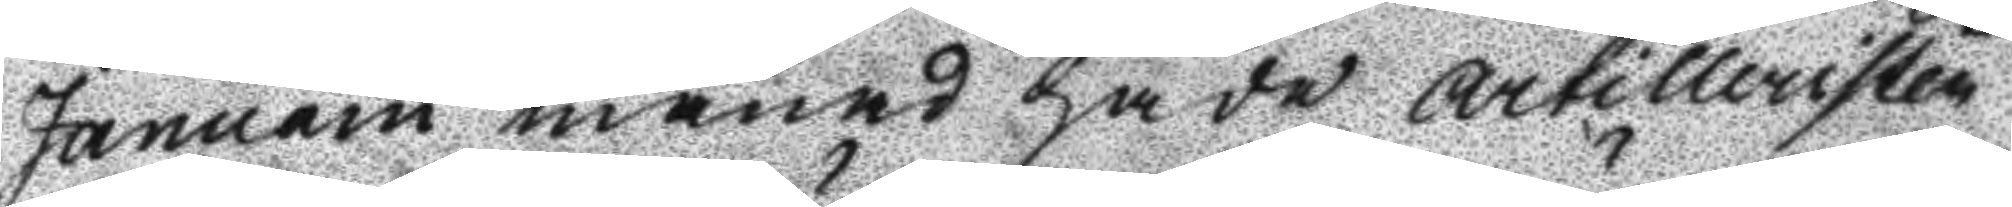Januarii månad hade Artilleristen
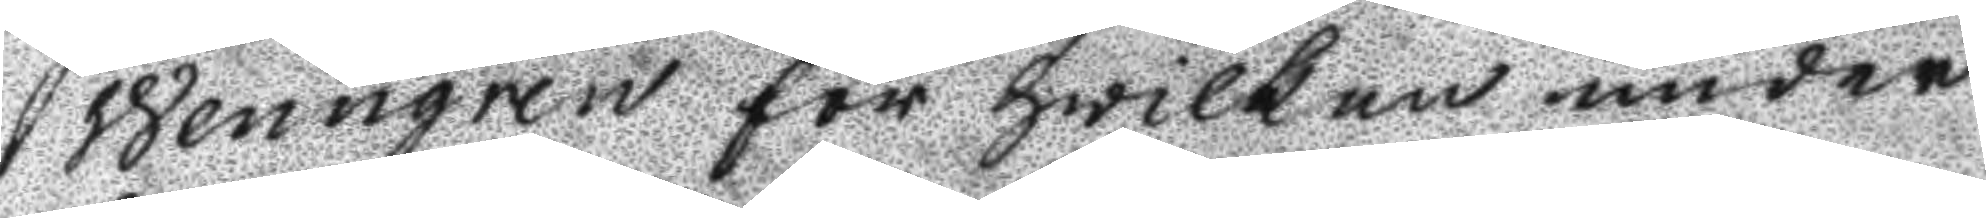Wenngren för hwilken under
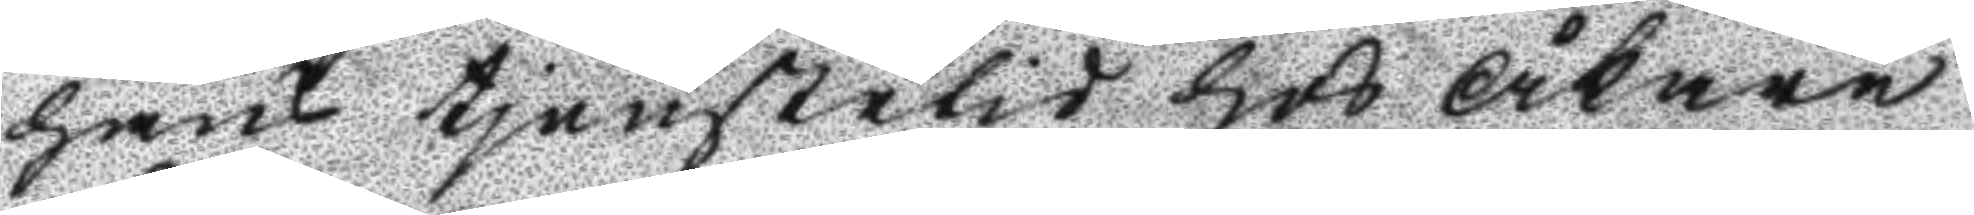hans tjenstetid hos Åkare
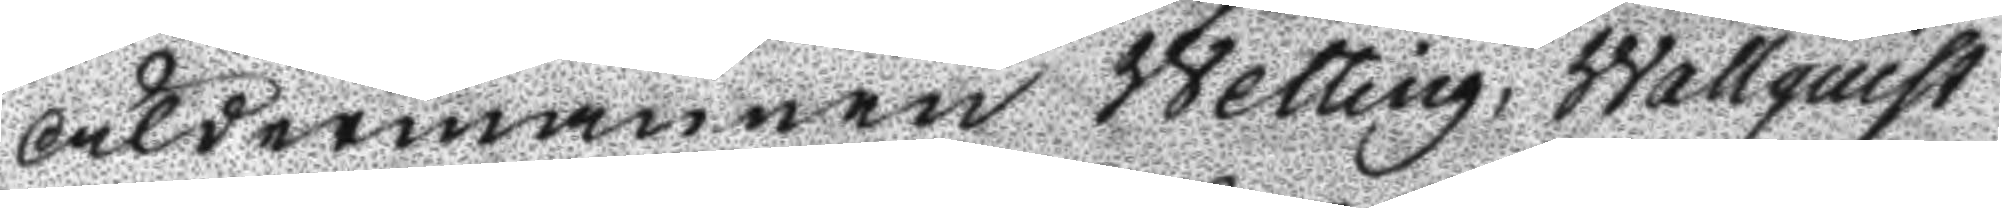Åldermannen Wetting, Wallquist
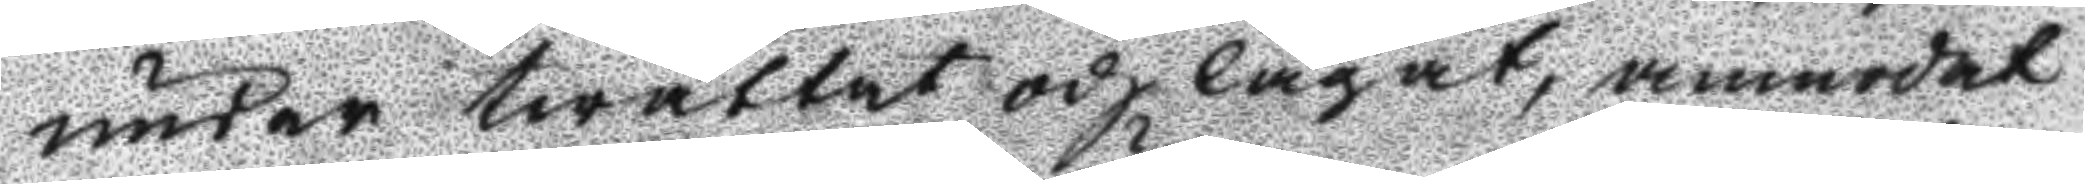under twättat och lagat, anmodat
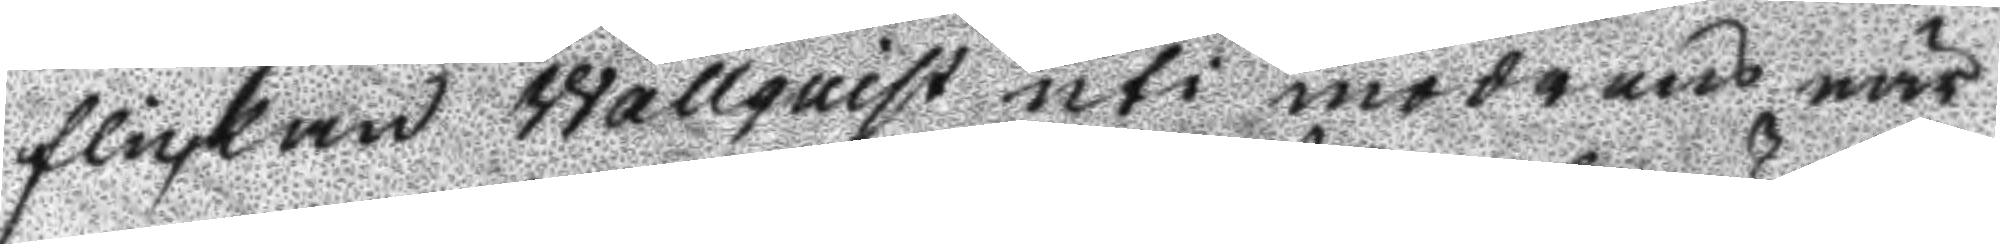flickan Wallquist uti moderns när¬
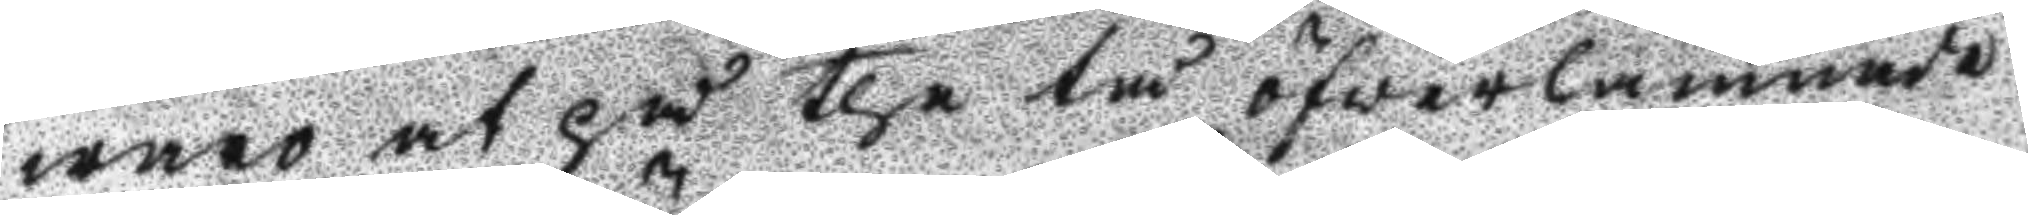waro at på the tå öfverlämnade
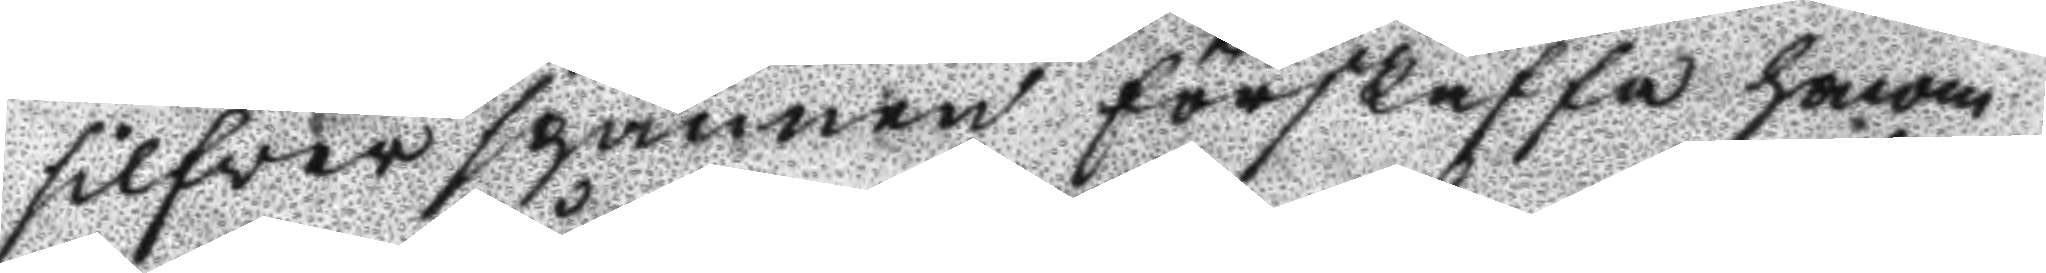silfver spännen förskaffa honom
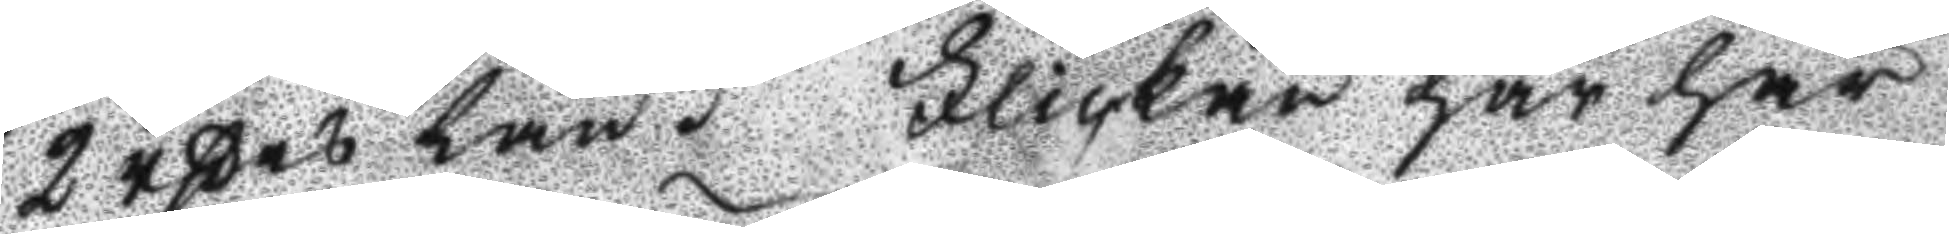2 rßes lån. Flickan har här
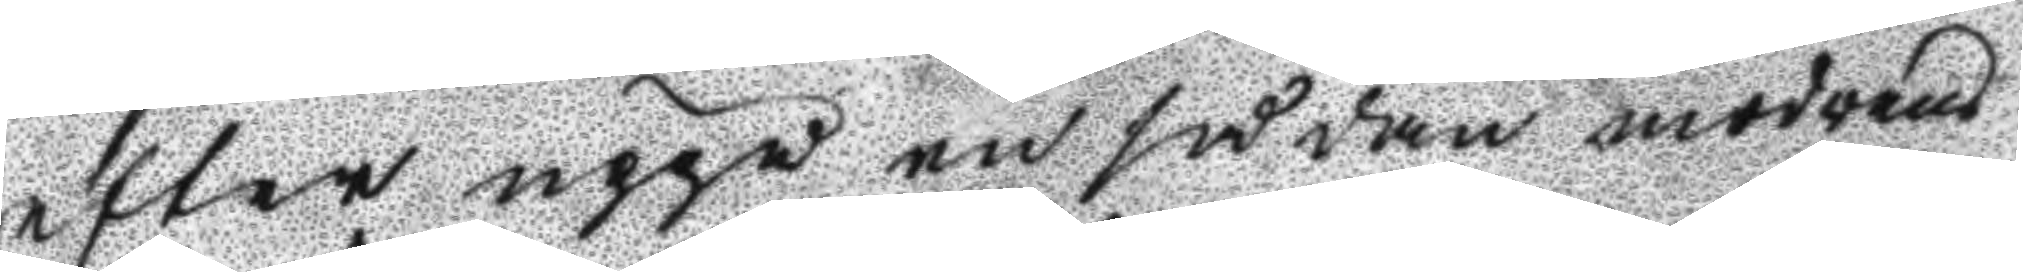efter uppå en sådan modrens
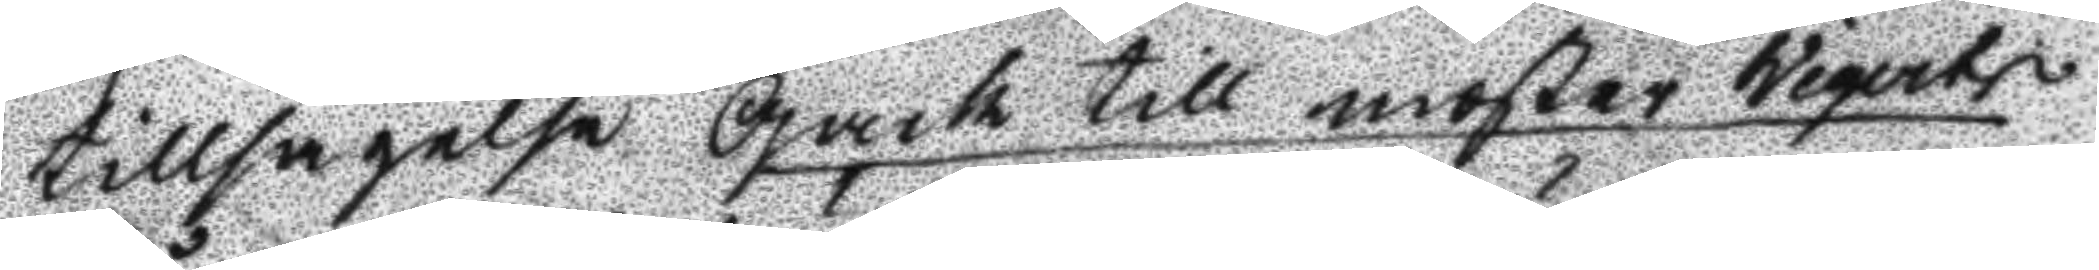tillsägelse Gack till moster Wigerts
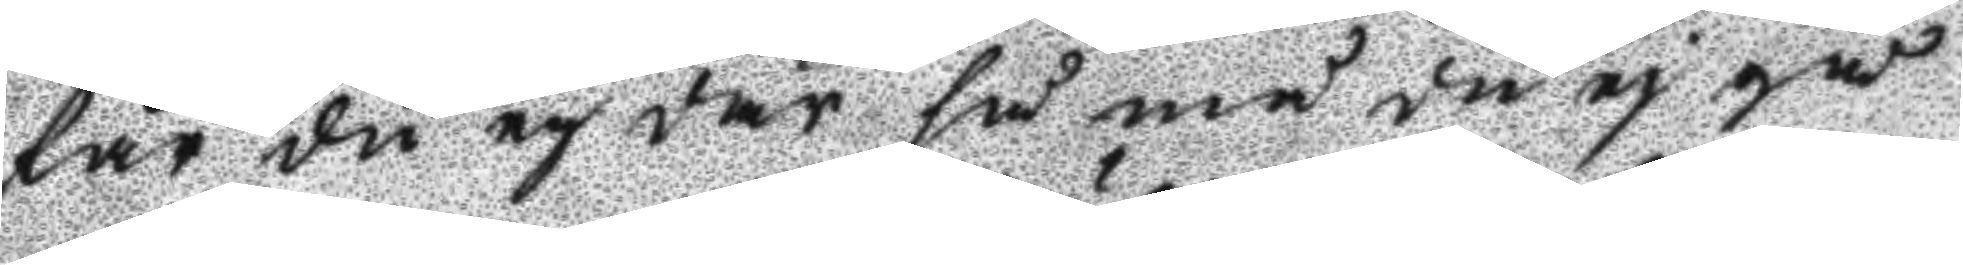får du ej där få må du ej gå
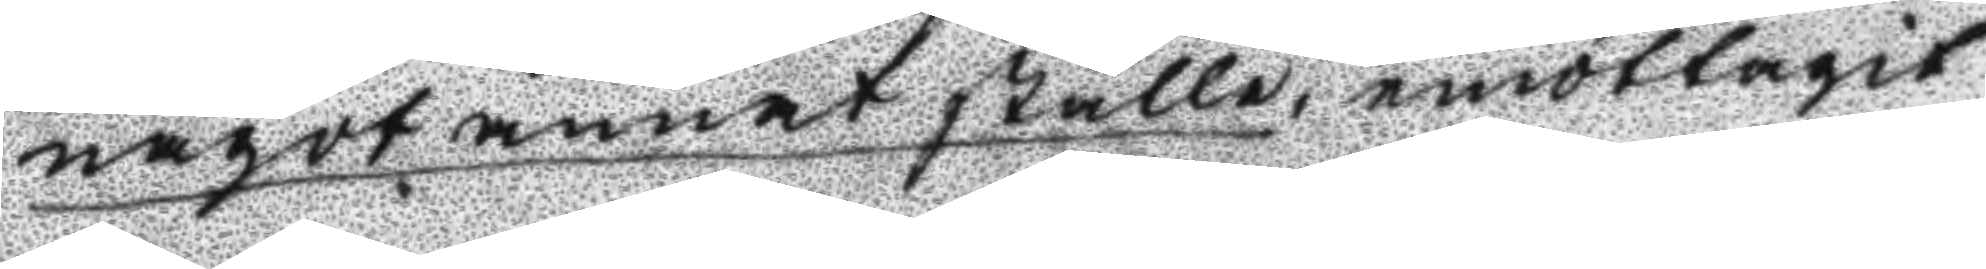något annat ställe, emottagit
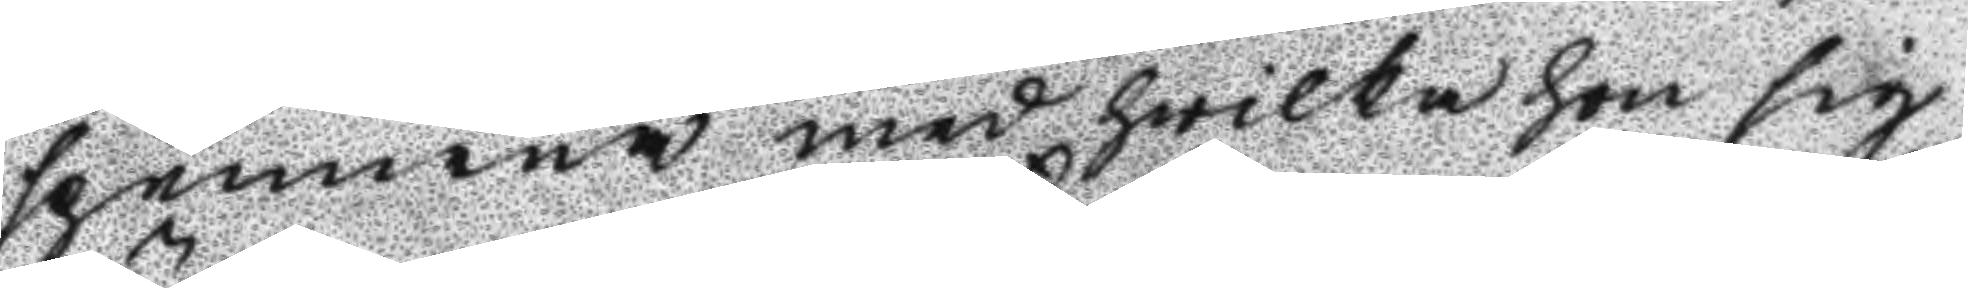spennena med hwilka hon sig
